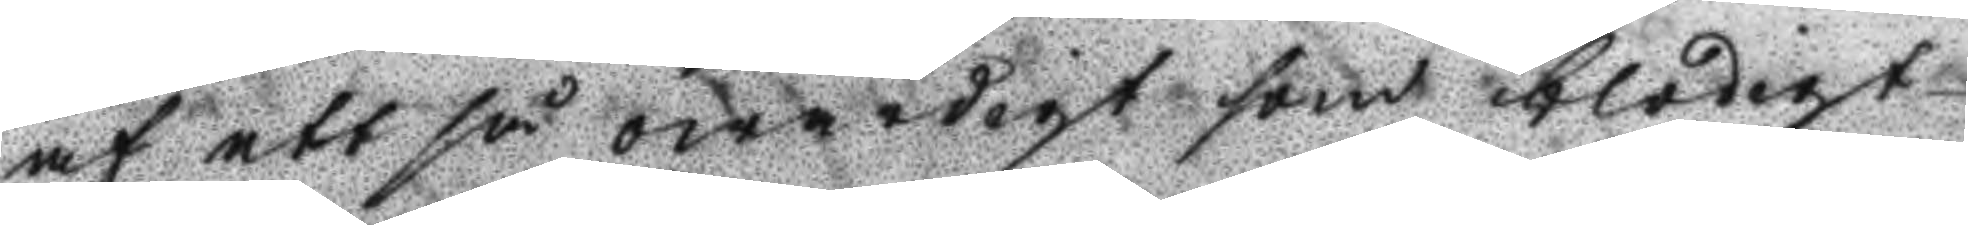af ett så owärdigt som blodigt
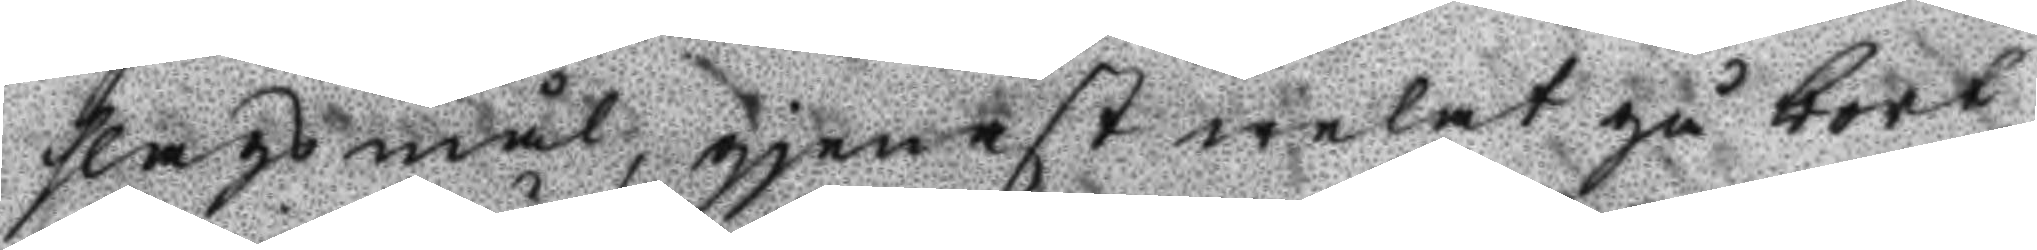slagsmål, gjenast welat gå bort
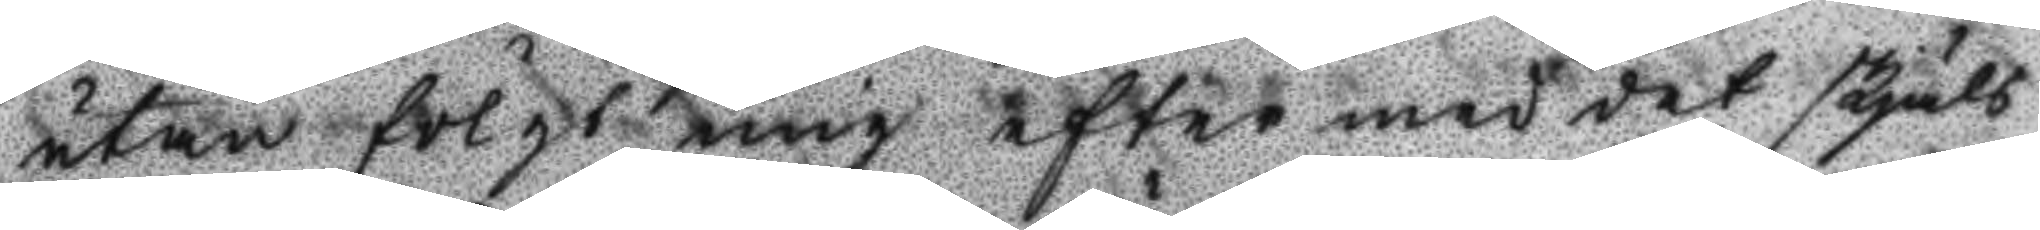utan fölgt mig efter med det skjäls
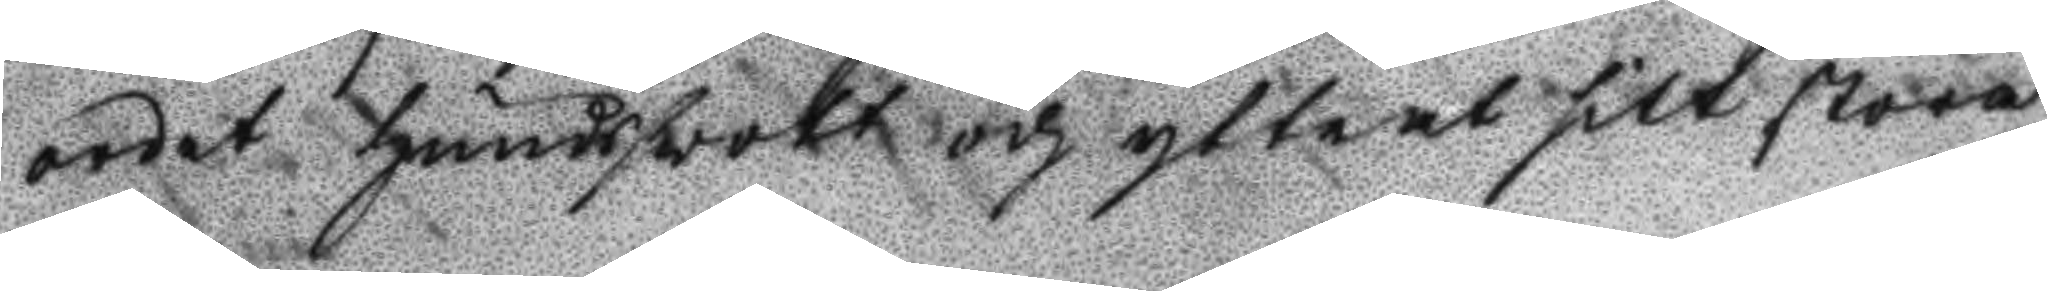ordet hundsvott och yttrat sitt stora
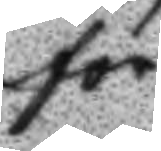för¬
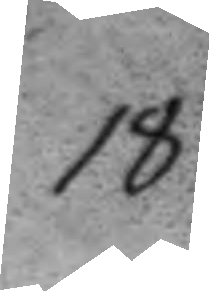18.
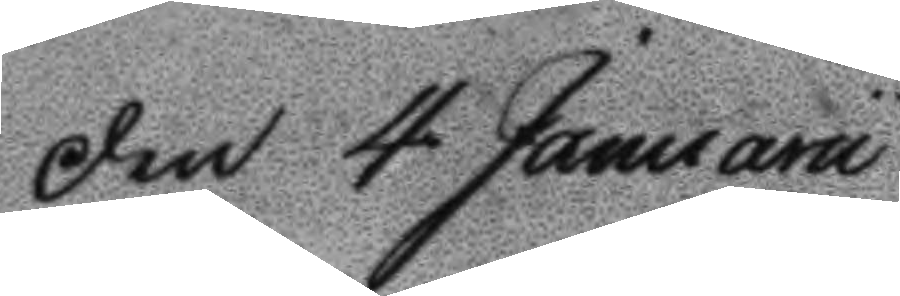den 4 Januarii
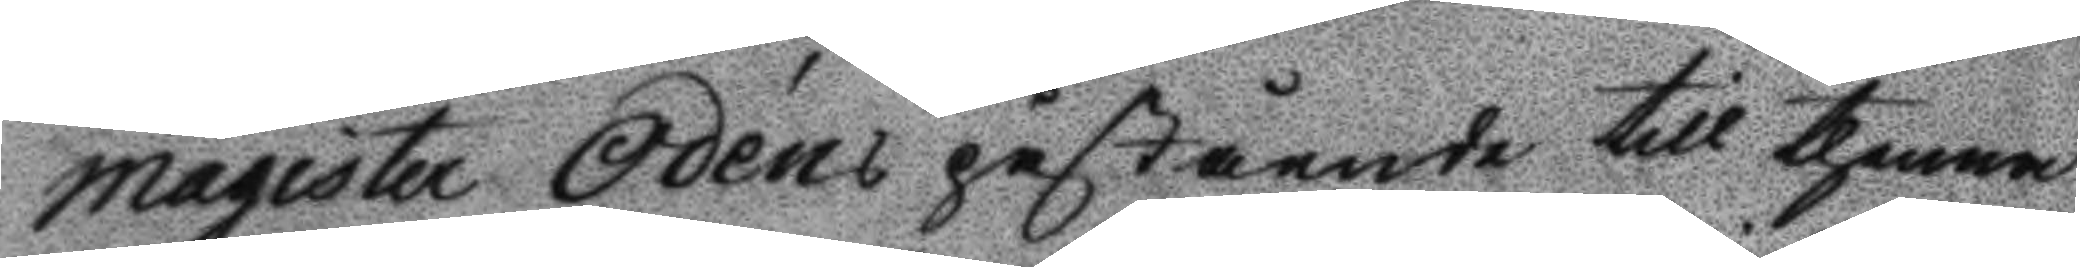magister Odéns påstående till thenna
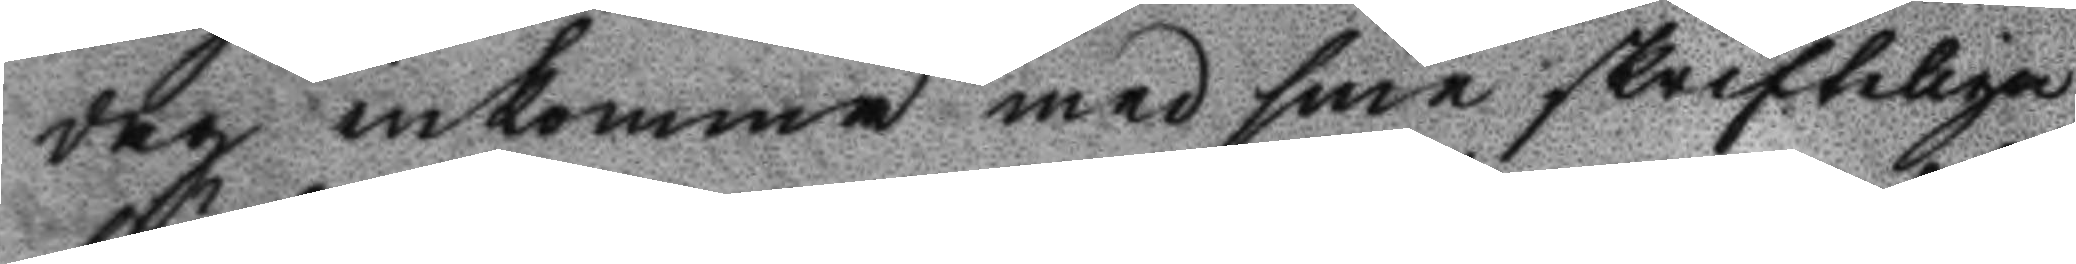dag inkomma med sine skrifteliga
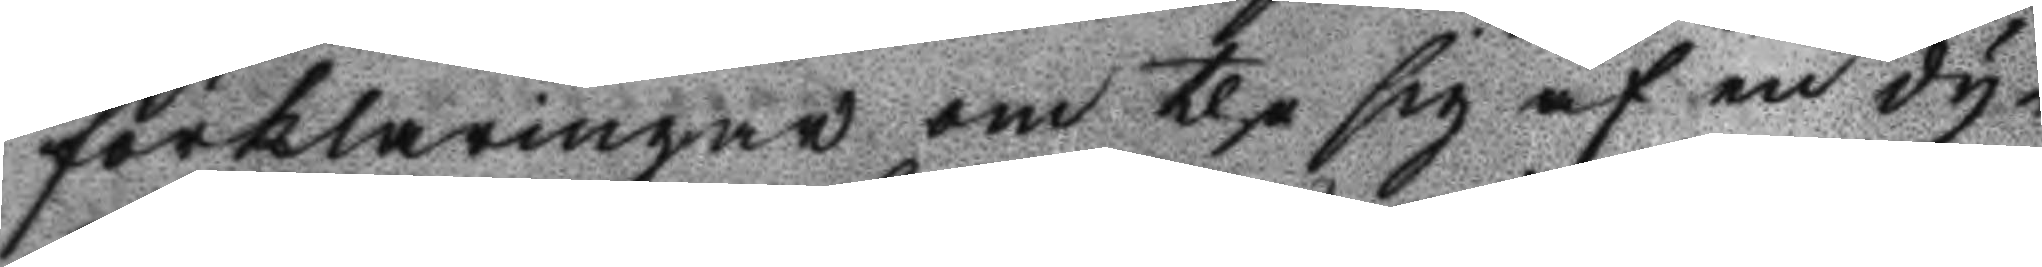förklaringar om the sig af en dy¬
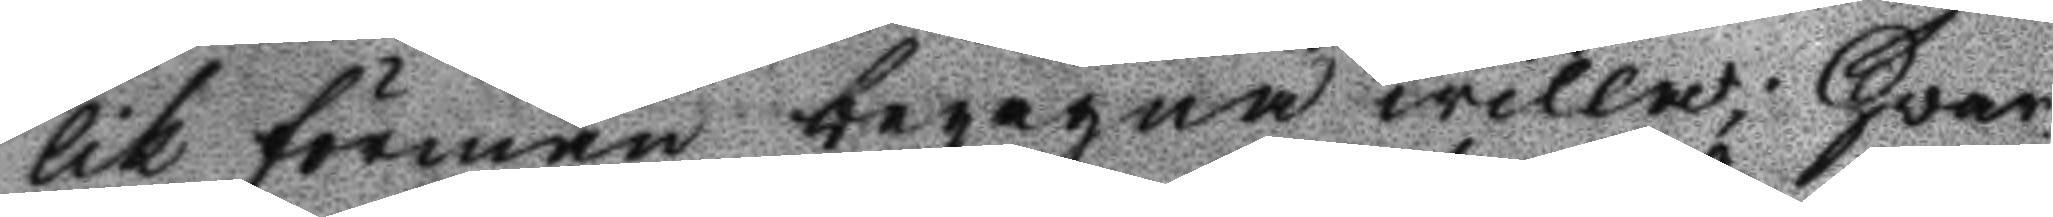lik förmån begagna willa; Hvar¬
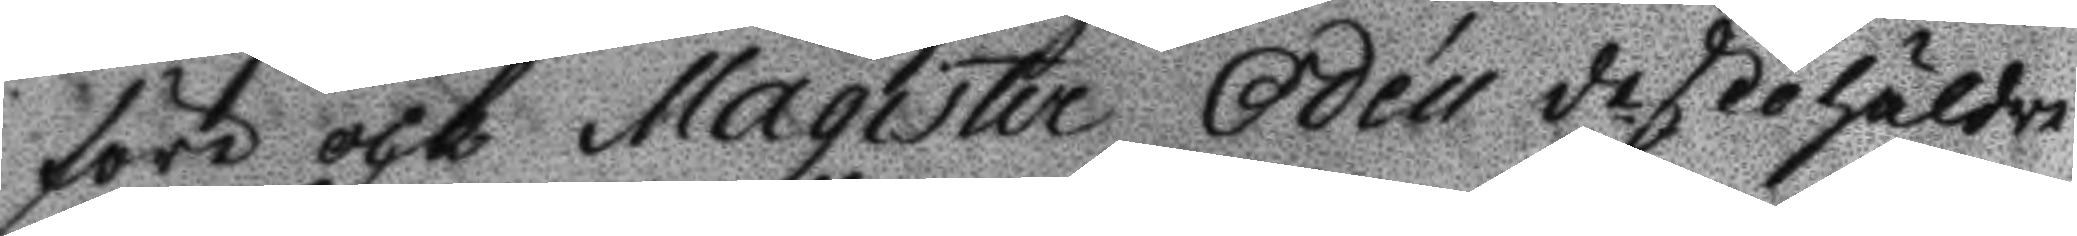före och Magister Odén destohäldre
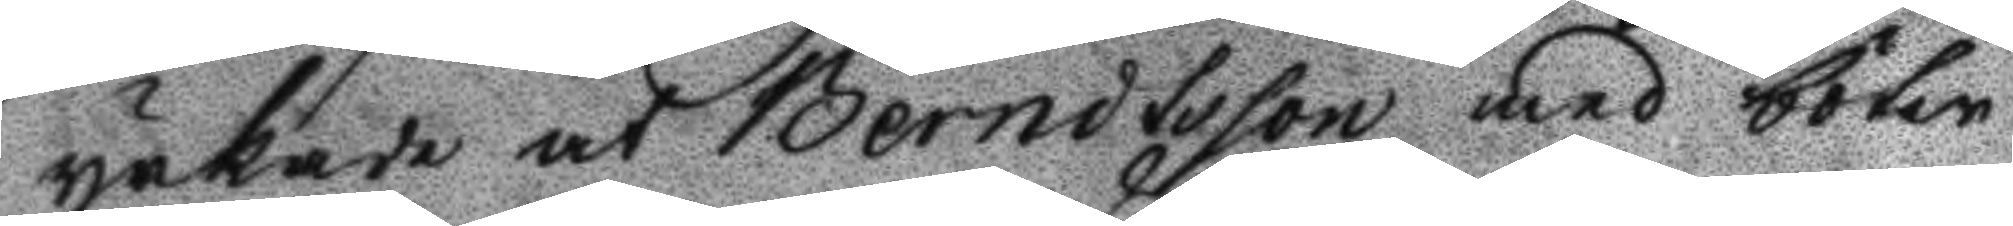yrkade at Berndtsson med böter
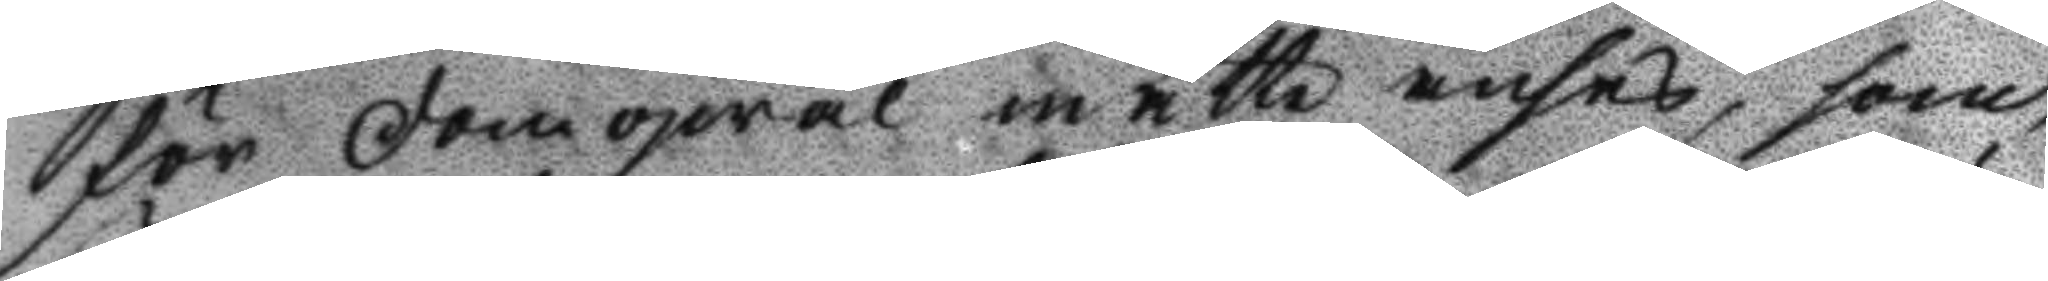för domqwal måtte anses, som
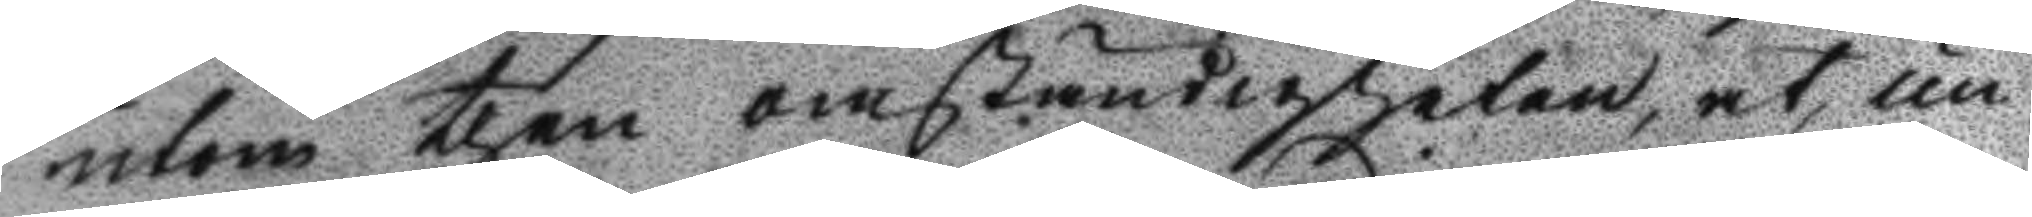utom then omständigheten, at un¬
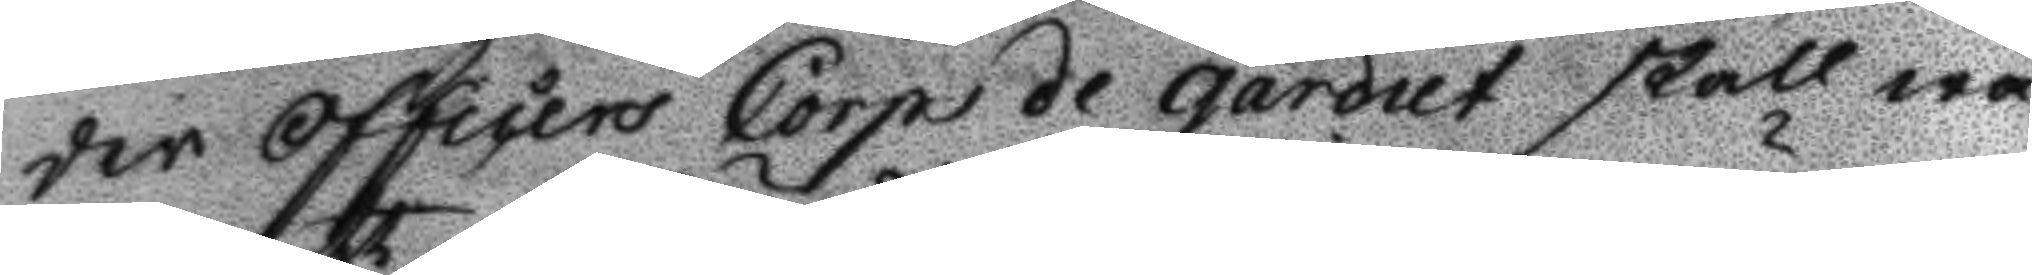der Officers Corpe de gardiet skall wa¬
